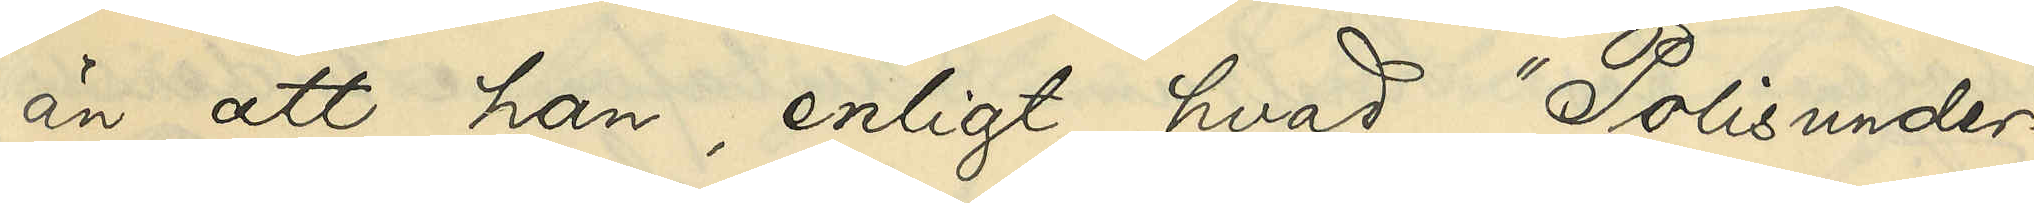än att han enligt hvad "Polisunder¬
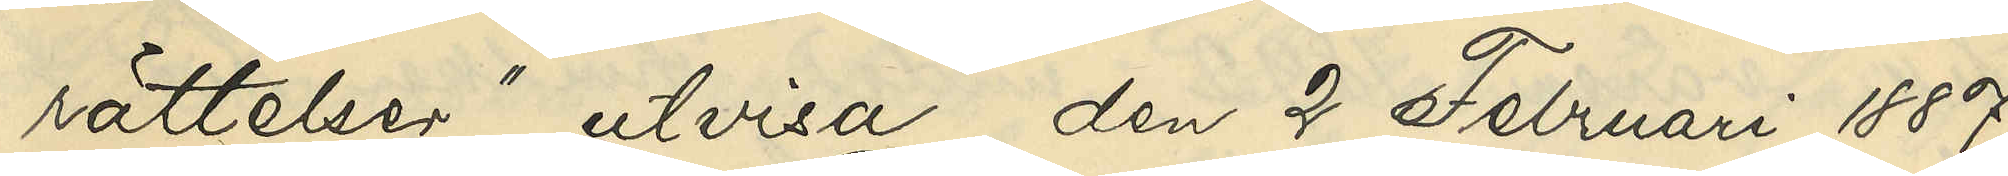rättelser" utvisa, den 2 Februari 1887
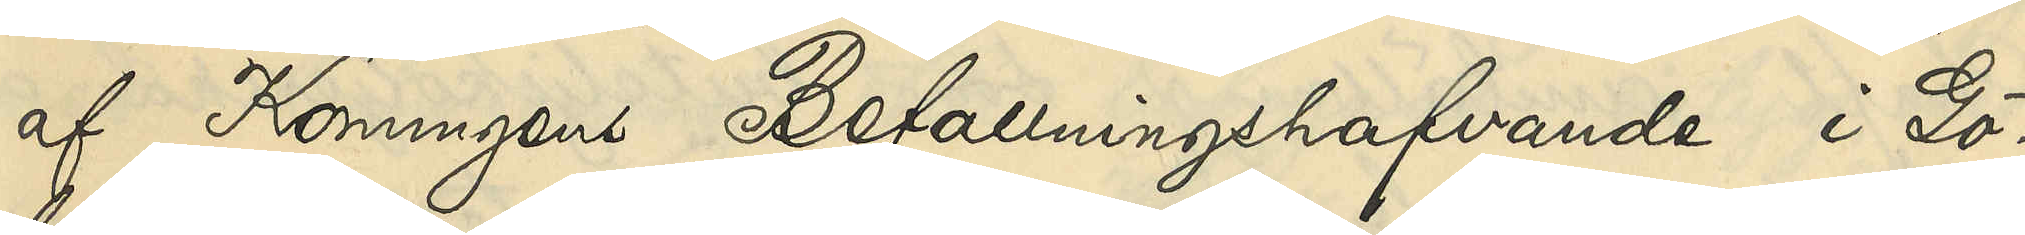af Konungens Befallningshafvande i Gö¬
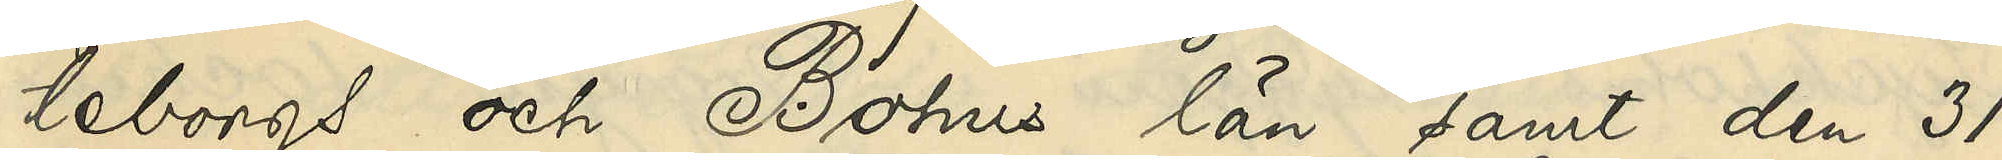teborgs och Bohus län samt den 31
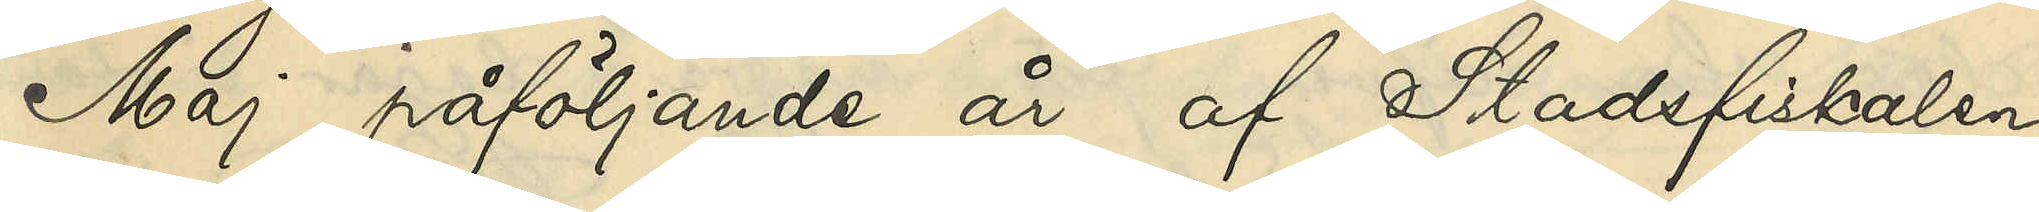Maj påföljande år af Stadsfiskalen
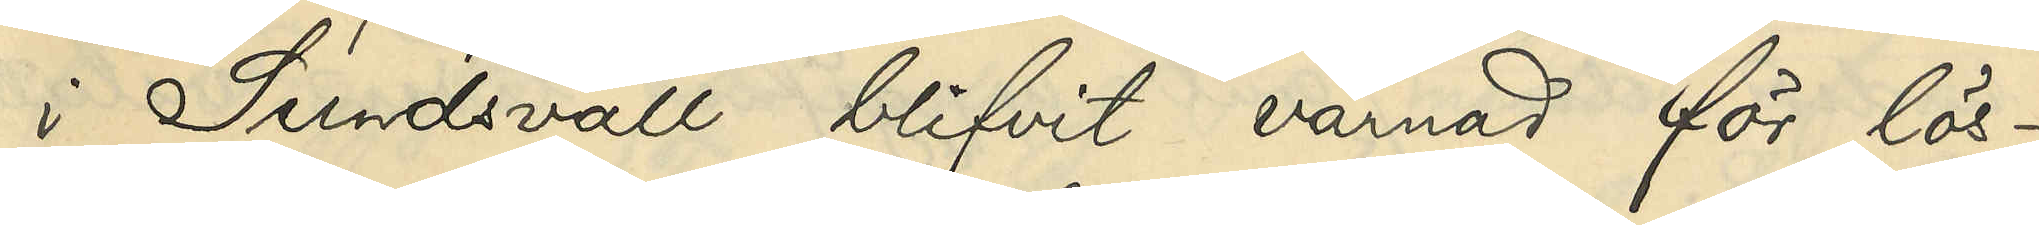i Sundsvall blifvit varnad för lös¬
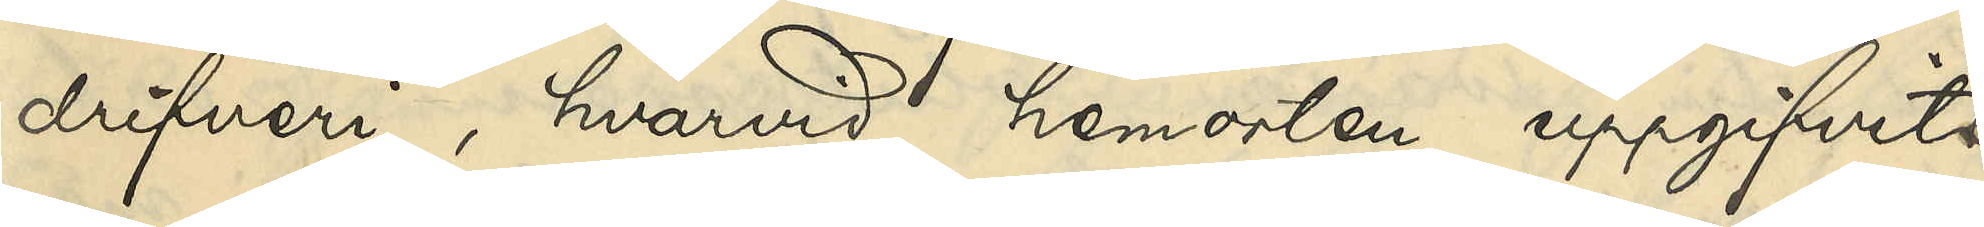drifveri, hvarvid hemorten uppgifvits
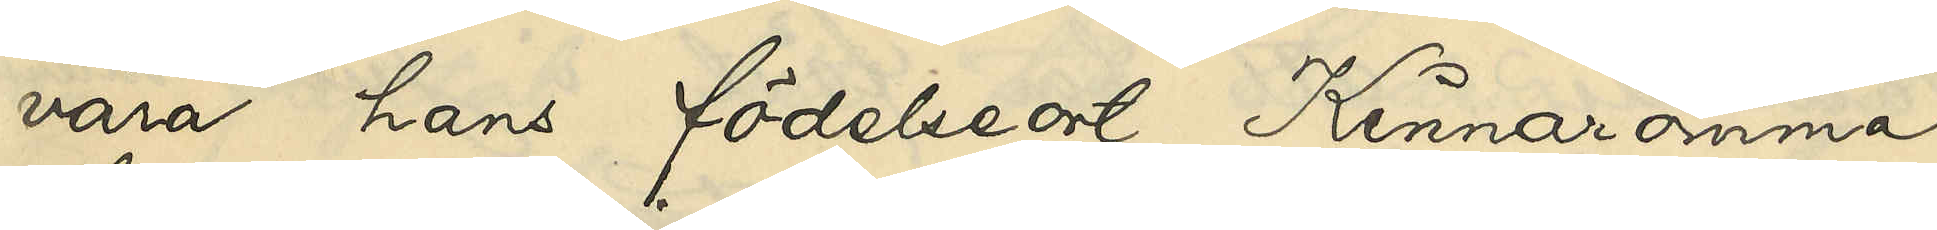vara hans födelseort, Kinnaromma
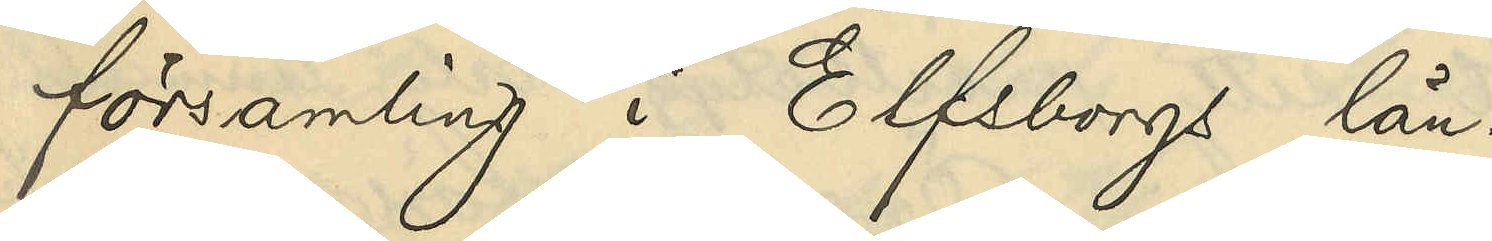församling i Elfsborgs län.
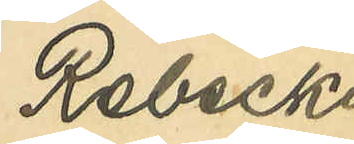Rebecka
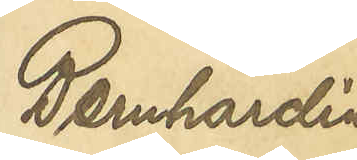Bernhardina
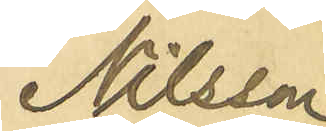Nilsson
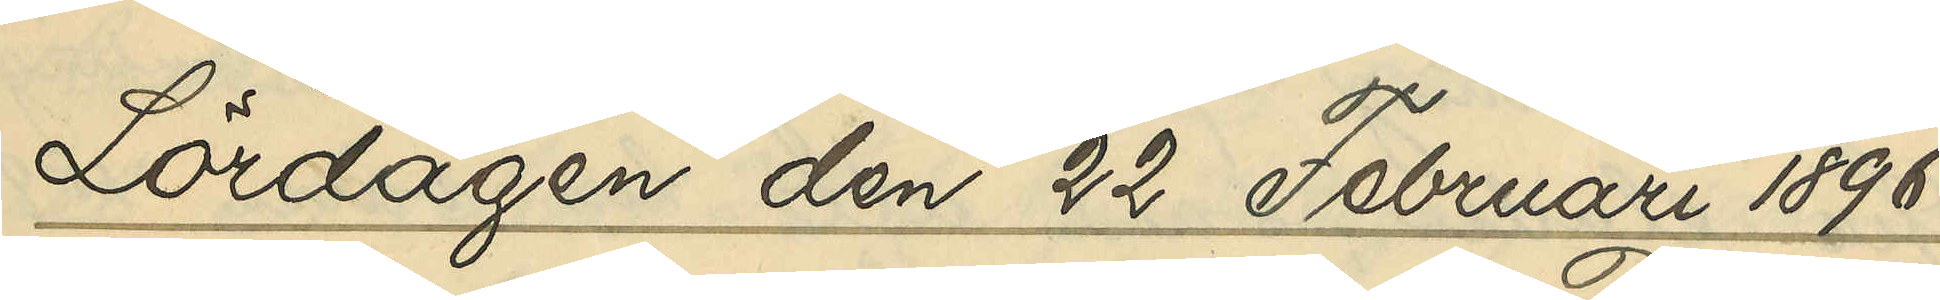Lördagen den 22 Februari 1896.
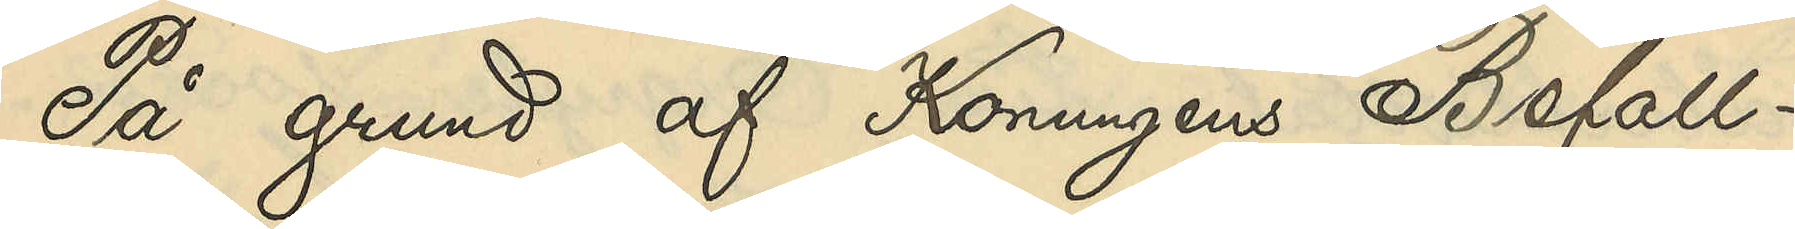På grund af Konungens Befall¬
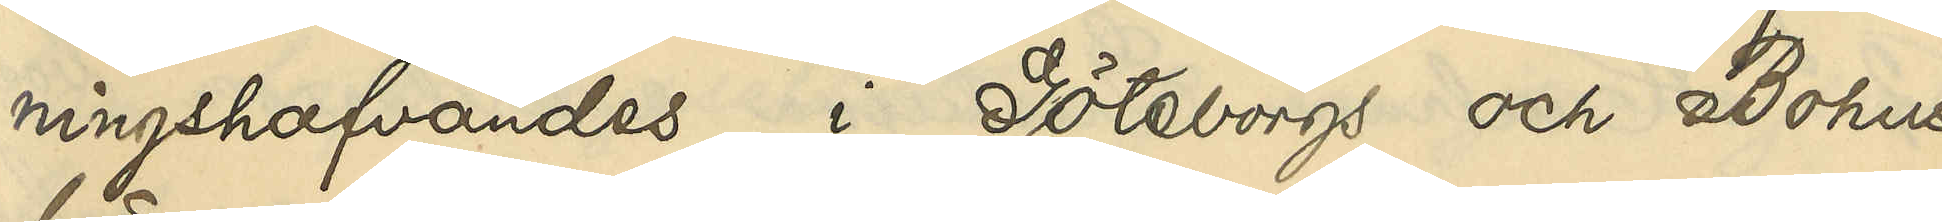ningshafvandes i Göteborgs och Bohus
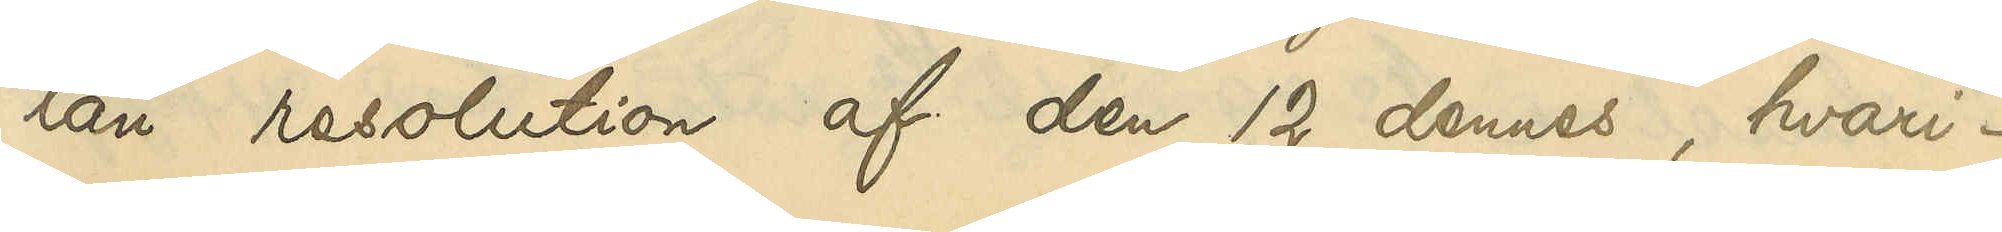län resolution af den 12 dennes, hvari¬
